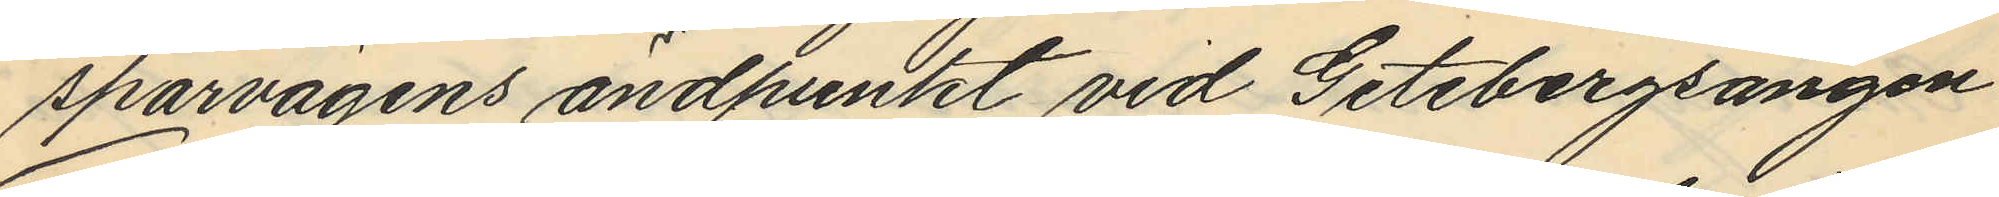spårvägens ändpunkt vid Getebergsängen
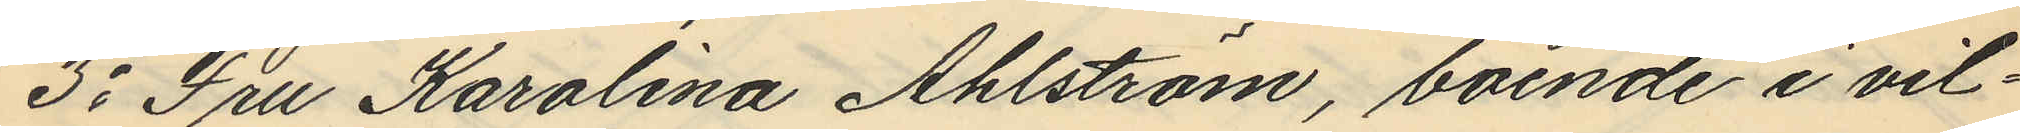3o Fru Karolina Ahlström, boende i vil¬
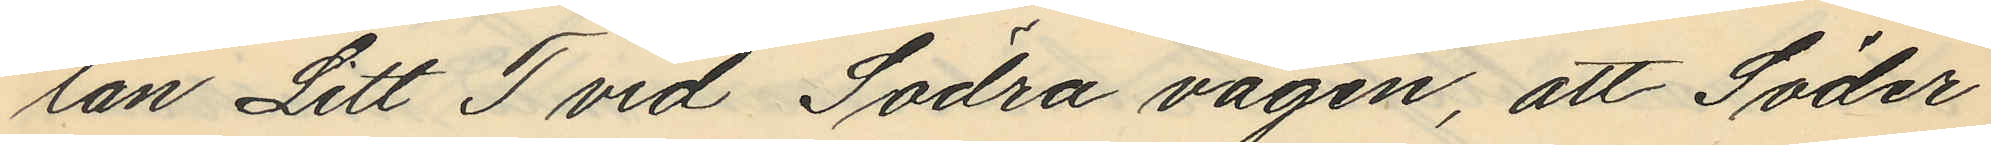lan Litt T vid Södra vägen, att Söder
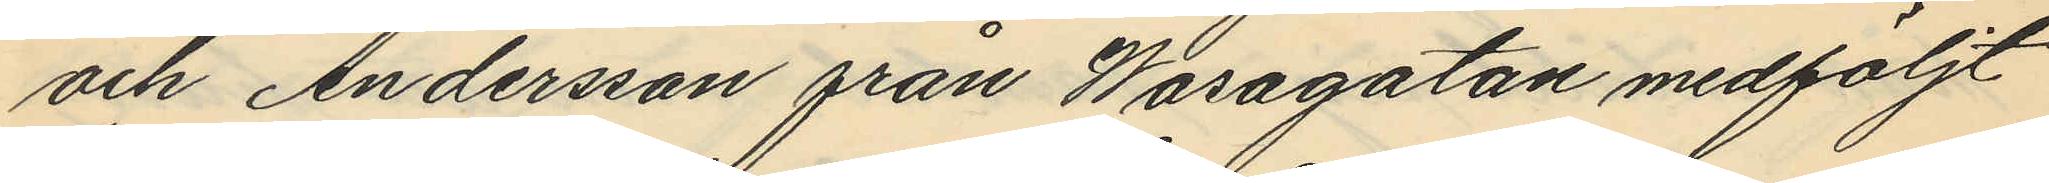och Andersson från Wasagatan medföljt
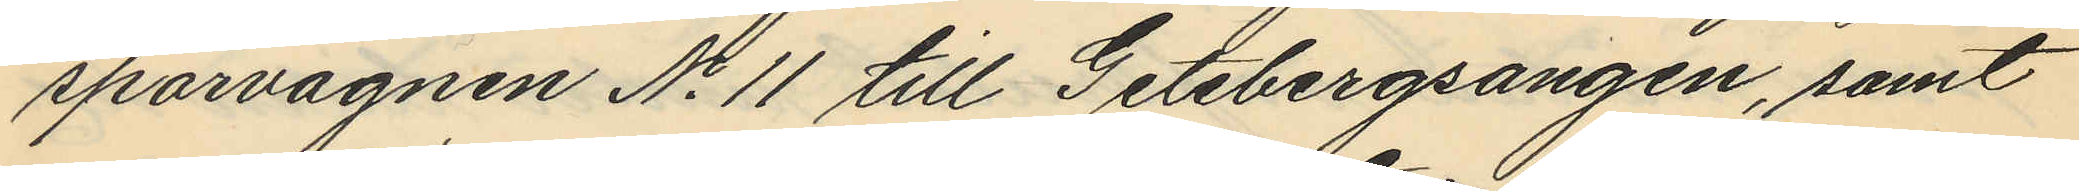spårvagnen No 11 till Getebergsangen, samt
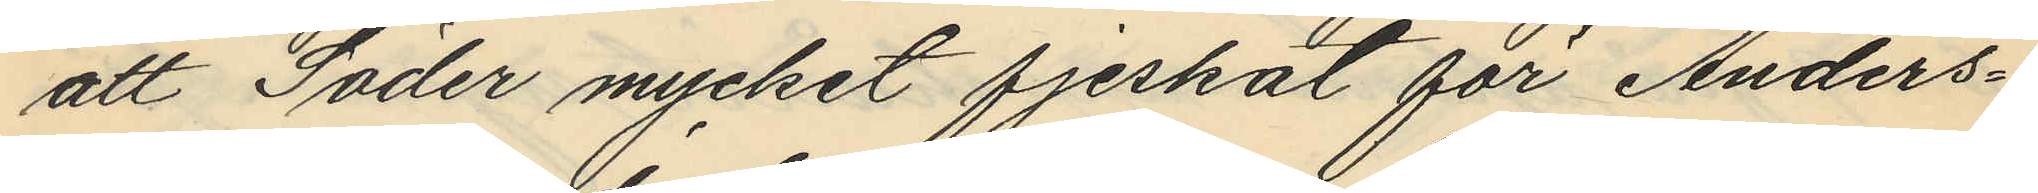att Söder mycket fjeskat för Anders¬
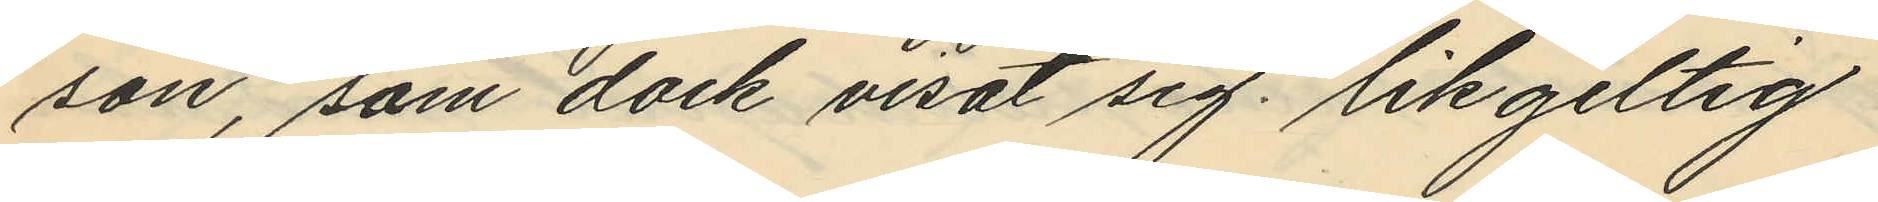son, som dock visat sig likgiltig
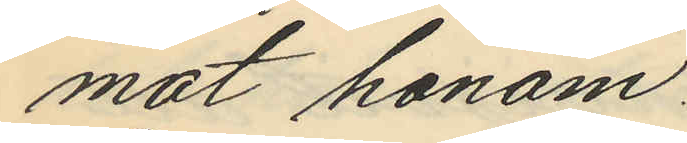mot honom.
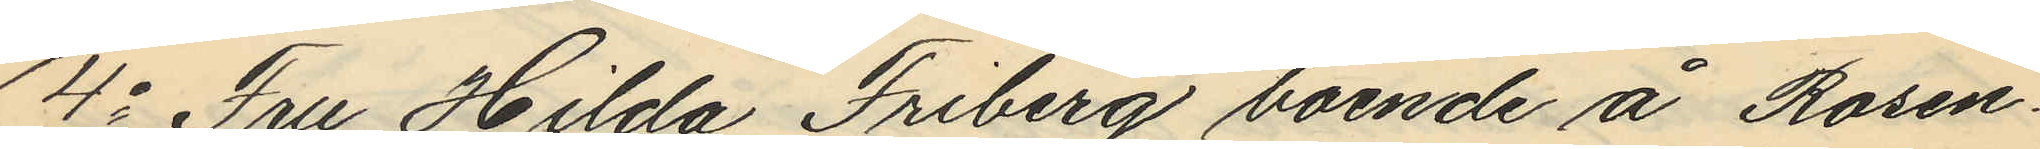4o Fru Hilda Friberg boende å Rosen¬
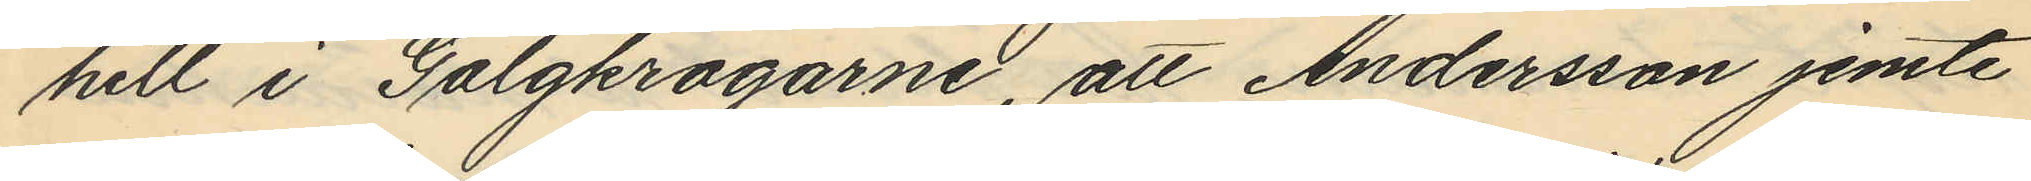hill i Galgkrogarne, att Andersson jemte
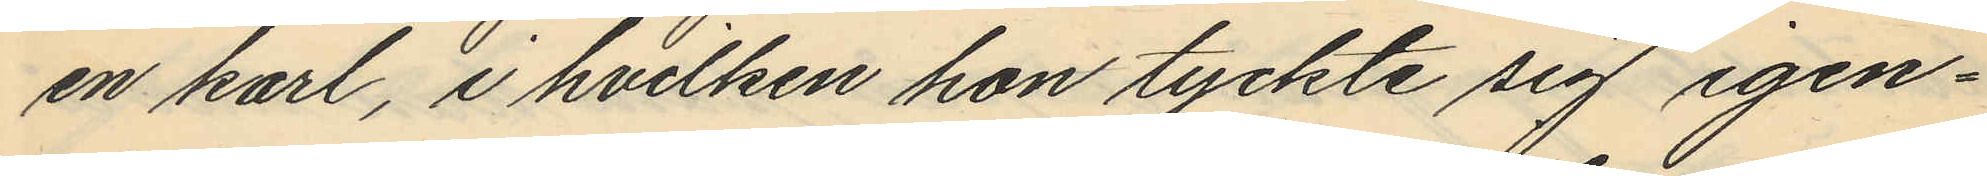en karl, i hvilken hon tyckte sig igen¬
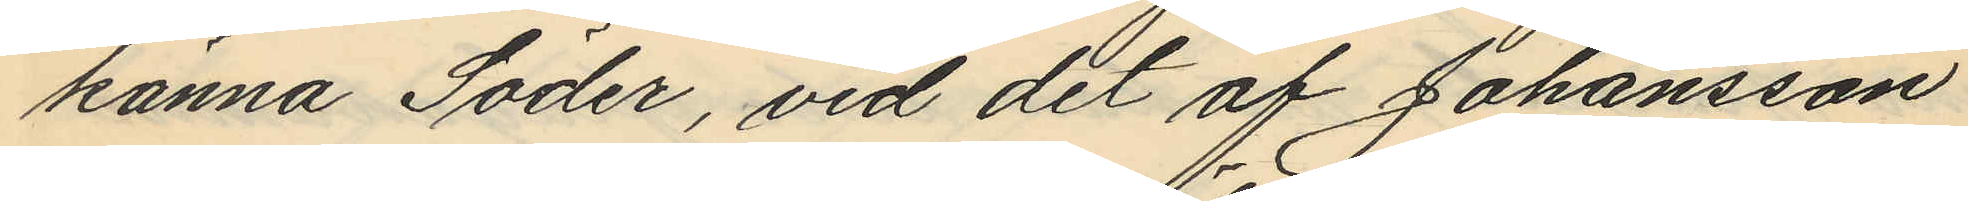känna Söder, vid det af Johansson
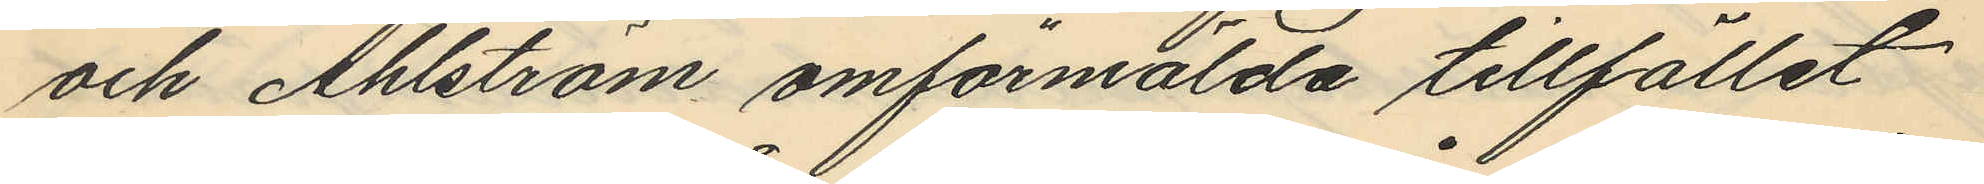och Ahlström omförmälda tillfället
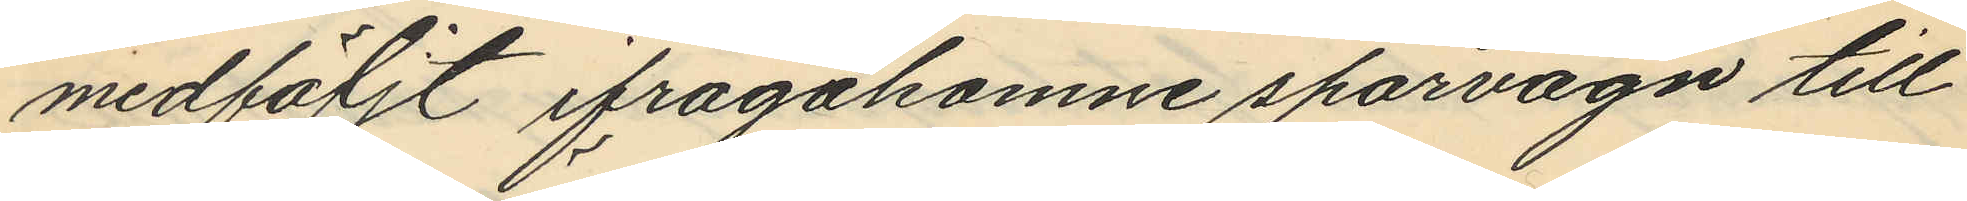medföljt ifrågakomne spårvagn till
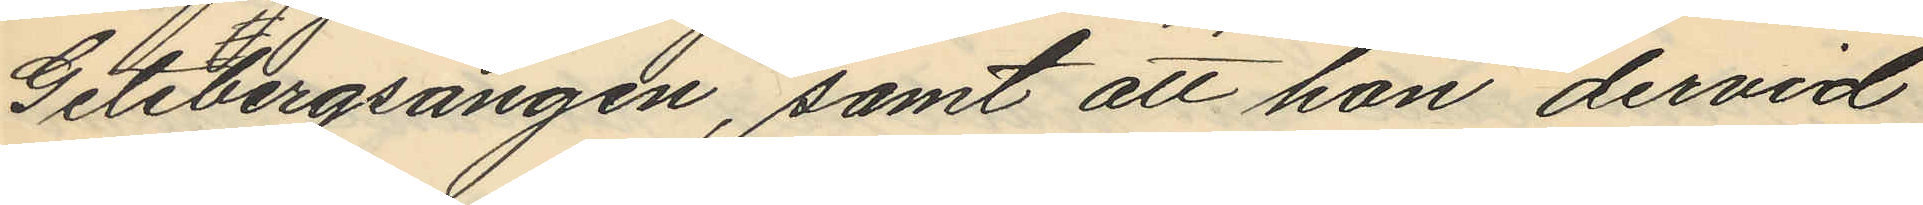Getebergsängen, samt att hon dervid
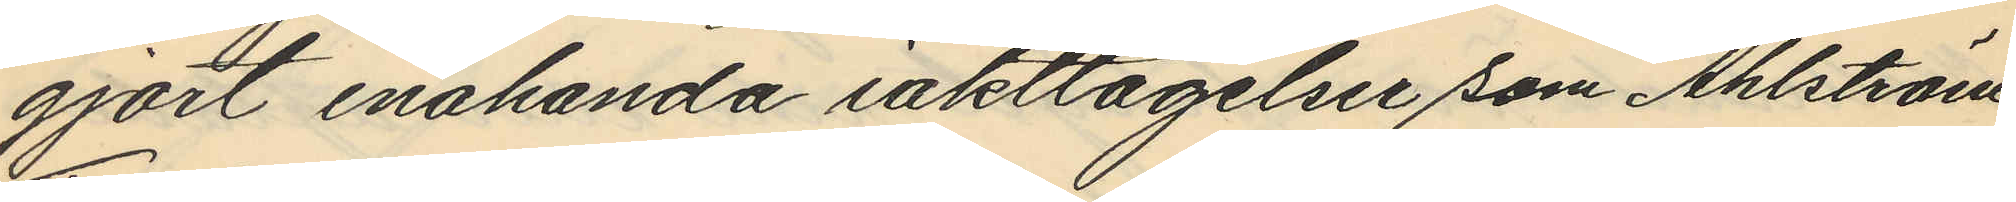gjort enahanda iakttagelse som Ahlström.
